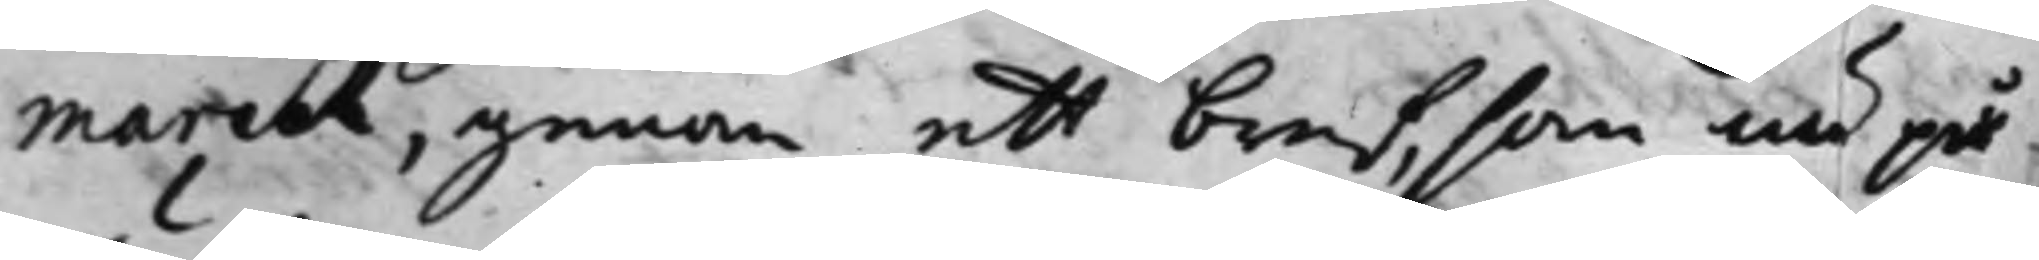marck, genom ett bref, som nu på
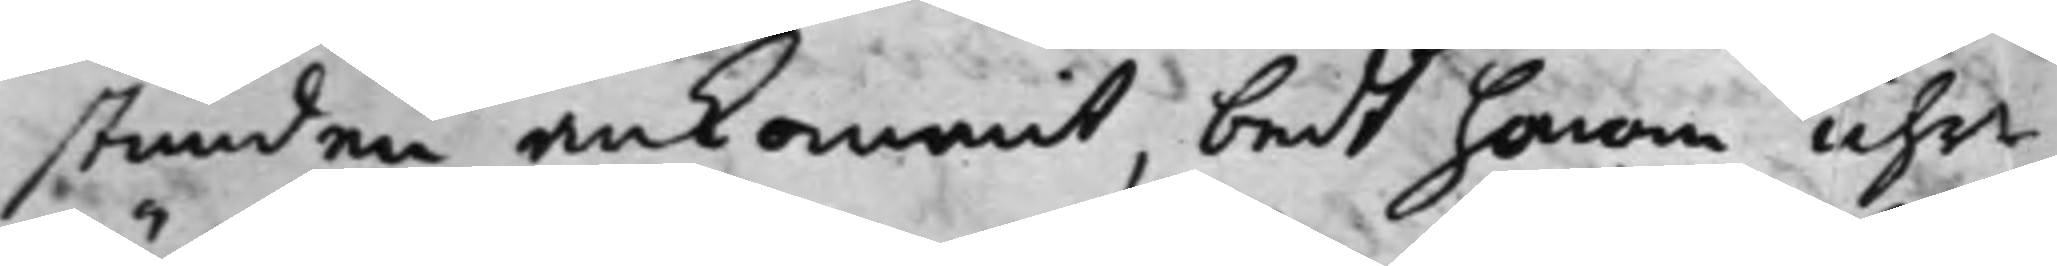stunden ankommit, bedt honom uhr¬
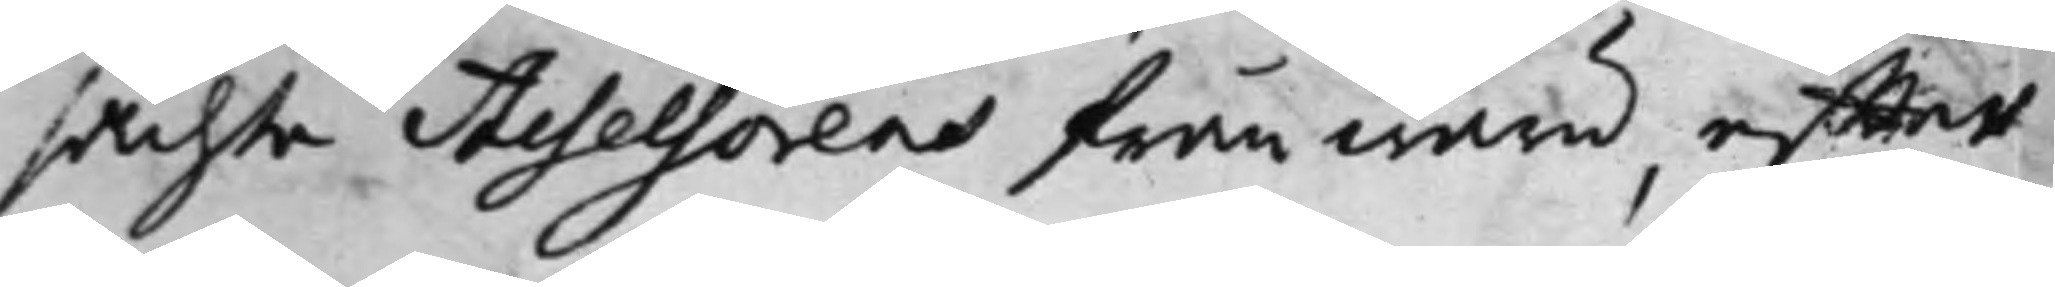sächta Assessorens frånwaru, effter
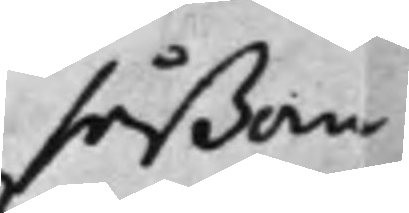såßom
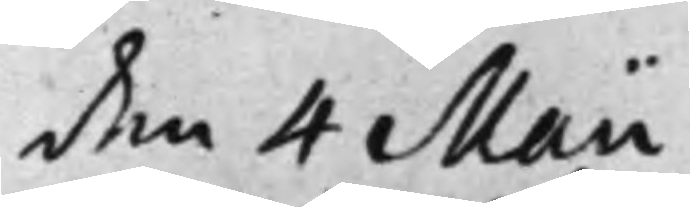den 4 Maii
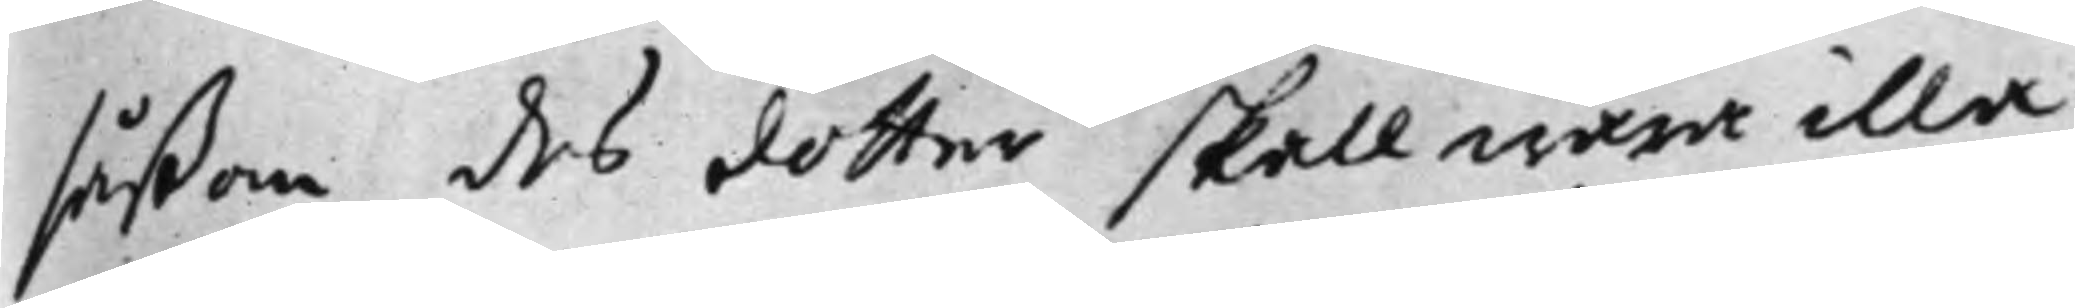såßom des dotter skall wara illa
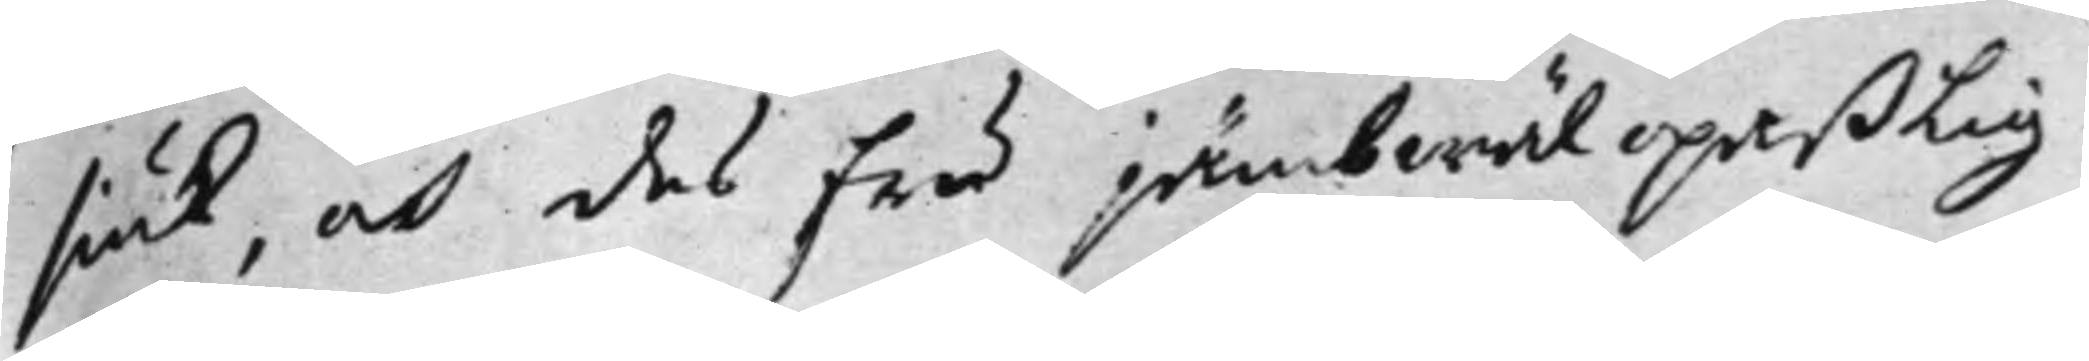siuk, och dess fru jämbväl opaßlig.
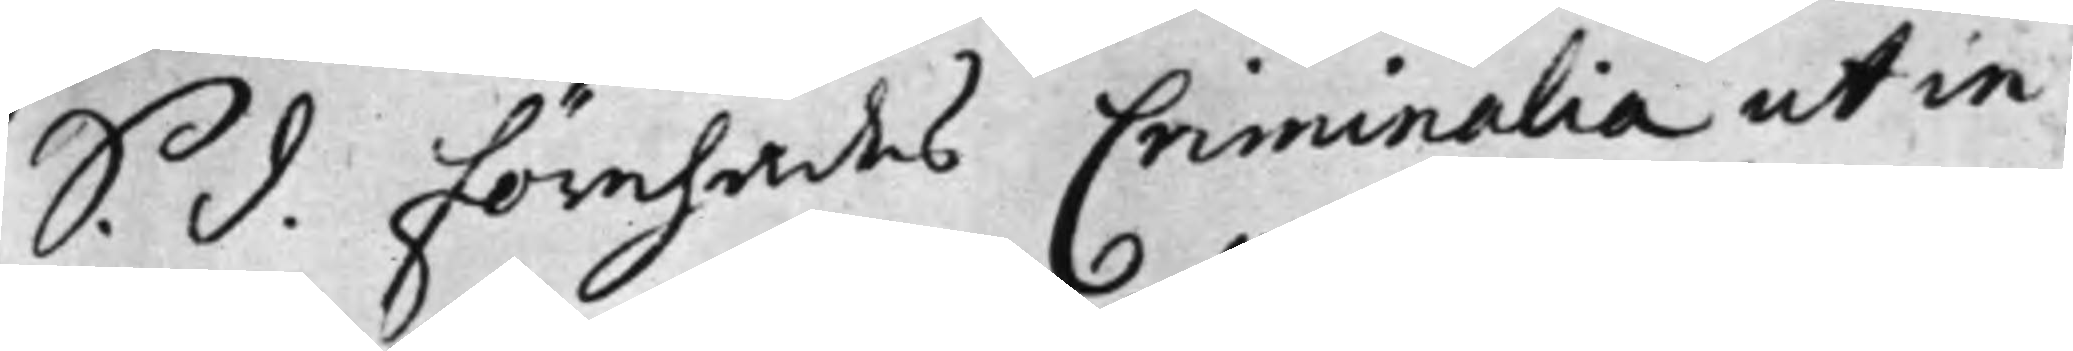S. d. Förehades Criminalia ut in
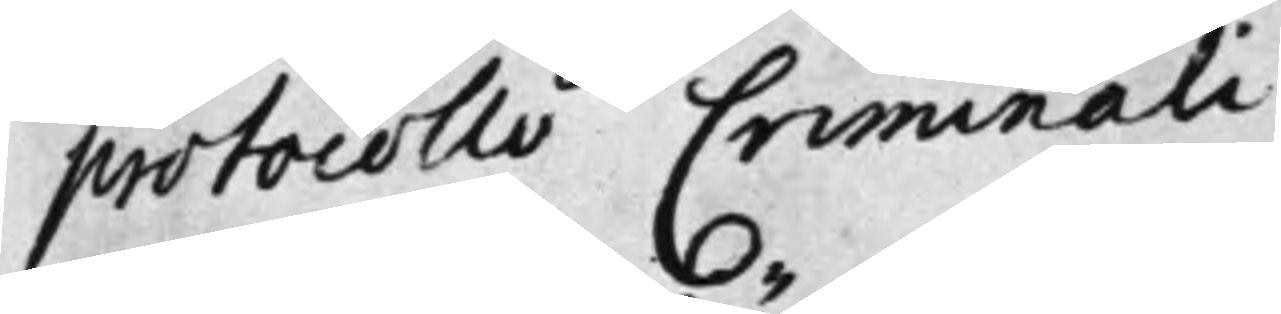protocolli Criminali
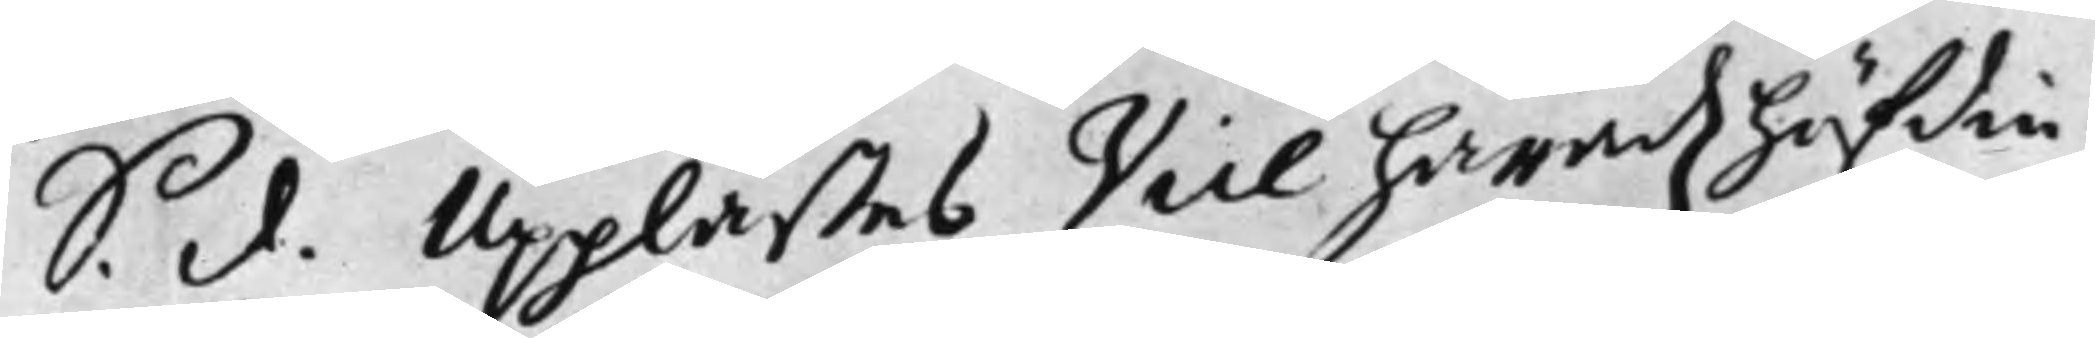S. d. Upplästes Vice häradzhöfdin¬
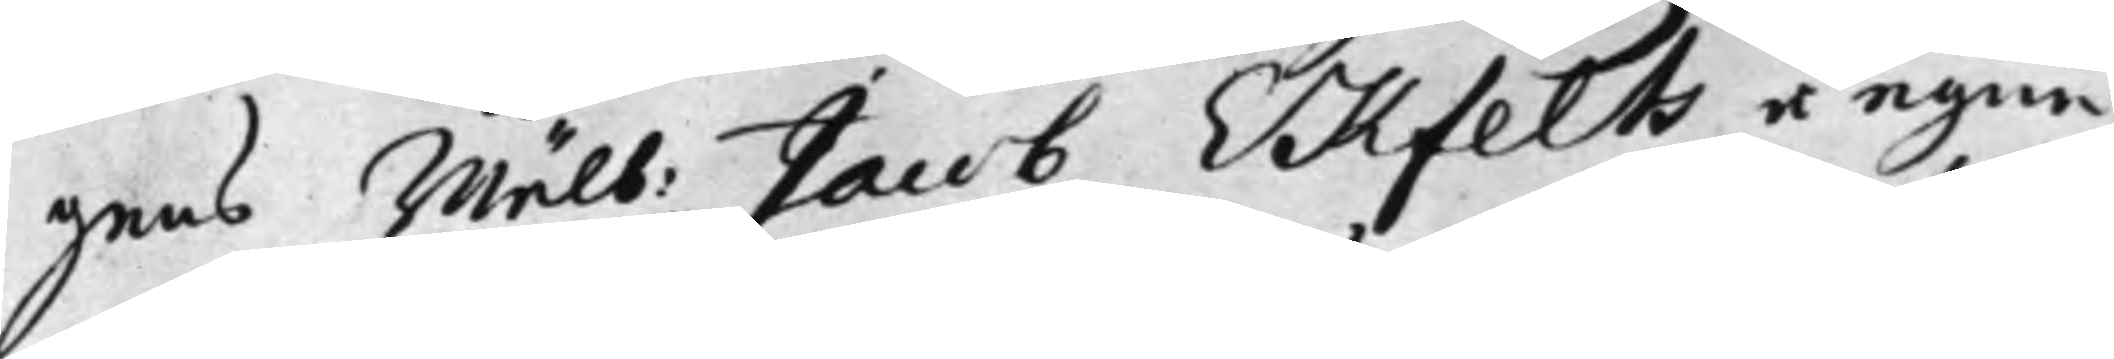gens Wälb: Jacob Ekfelts, å egne
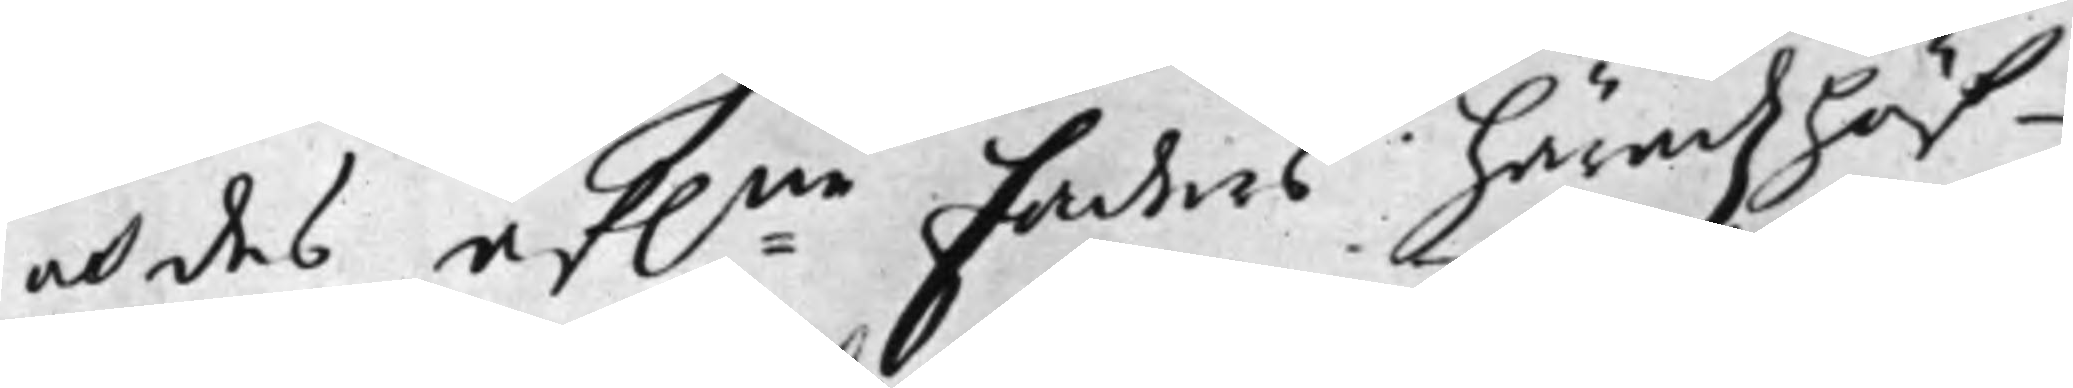och des af:ne faders häradzhöf¬
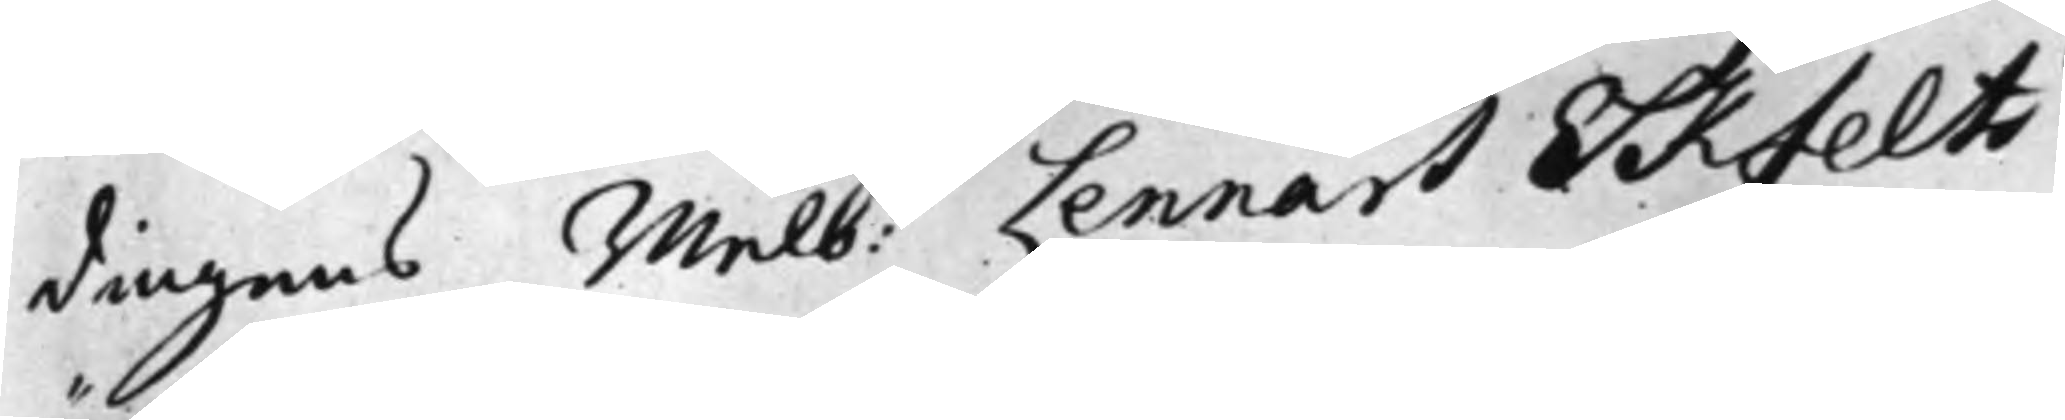dingens Wälb: Lennart Ekfelts
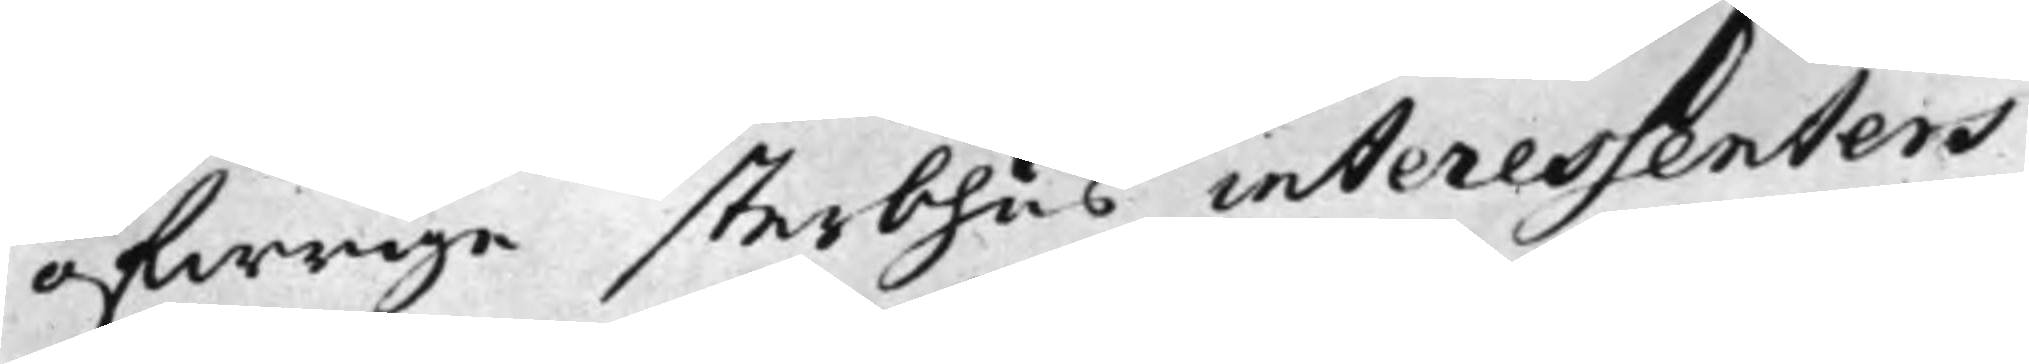öfwrige sterbhus interessenters
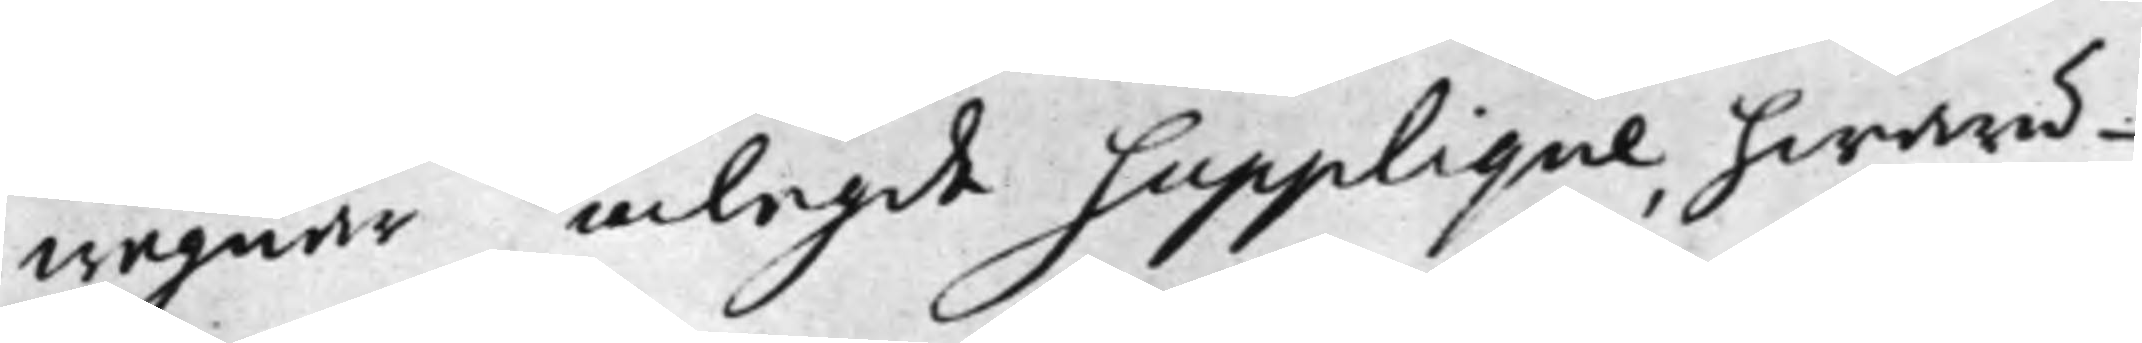wägnar inlagde Supplique, hwaru¬
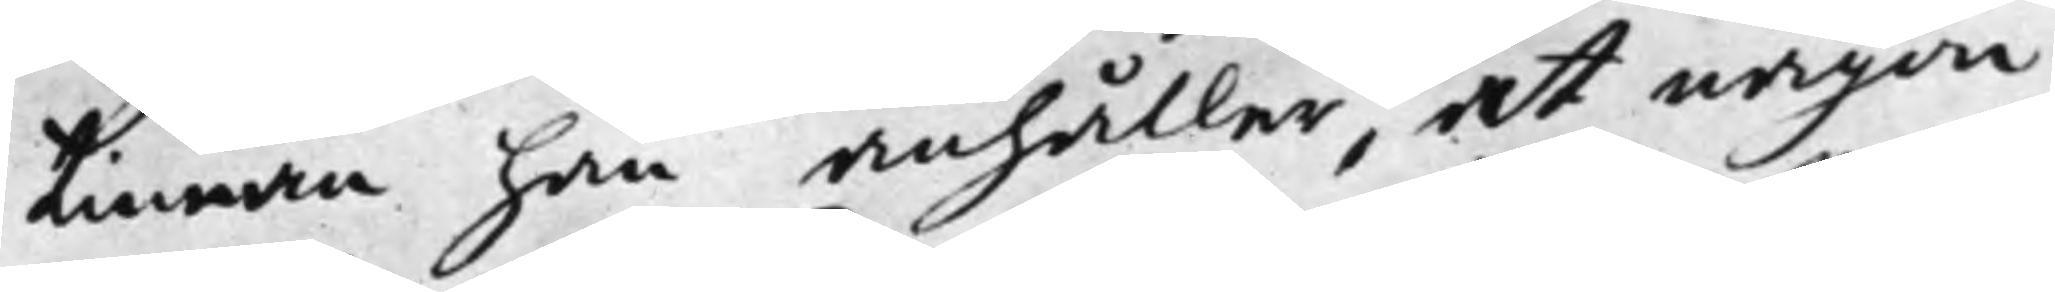tinnan han anhåller, at någon
